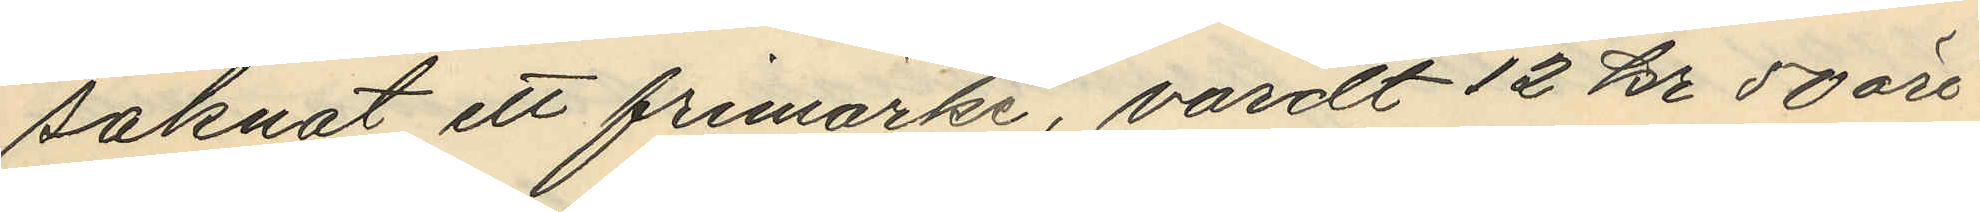saknat ett frimärke, värdt 12 kr 50 öre
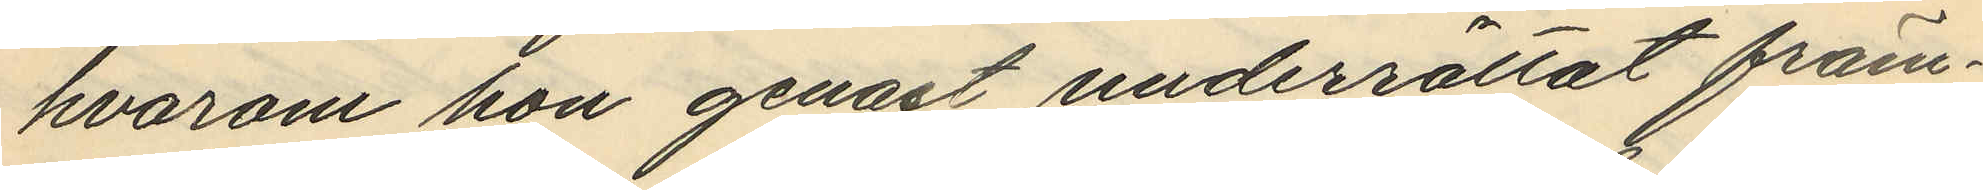hvarom hon genast underrättat främ¬
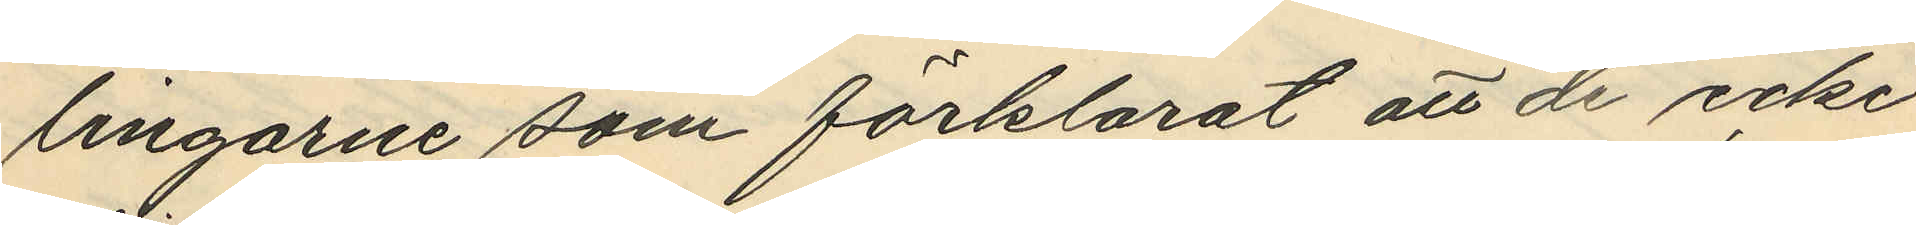lingarne som förklarat att de icke
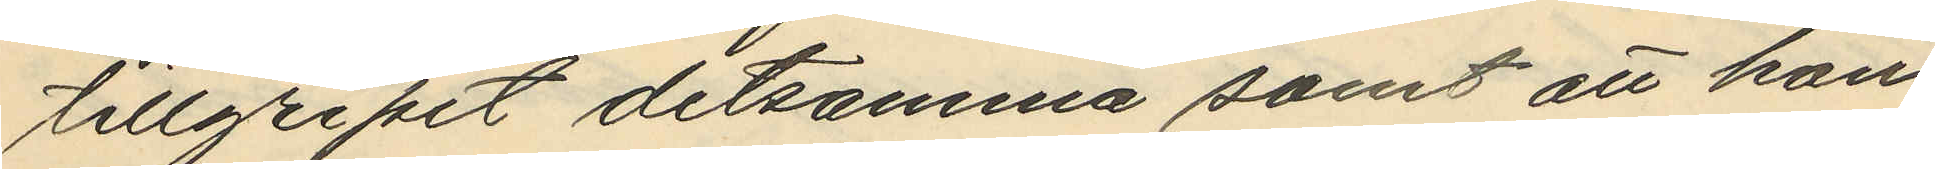tillgripit detsamma samt att hon
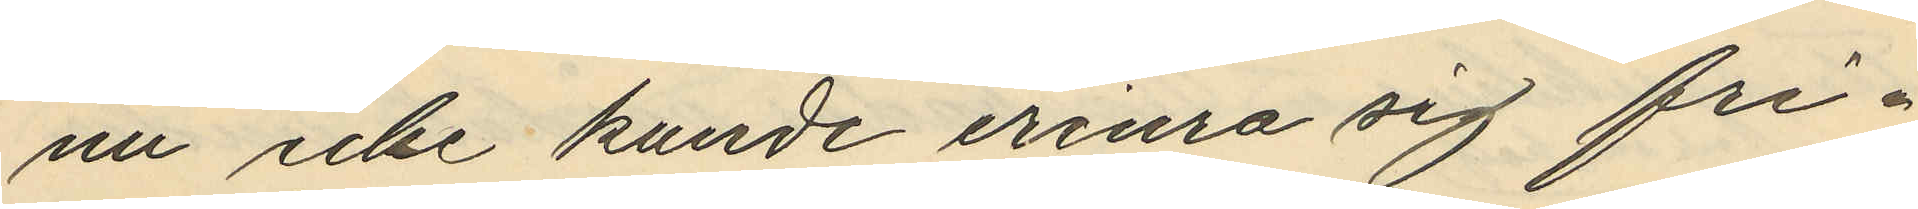nu icke kunde erinra sig fri¬
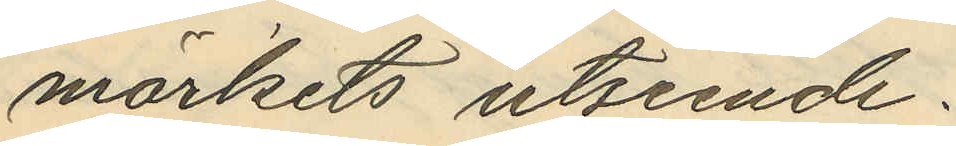märkets utseende.
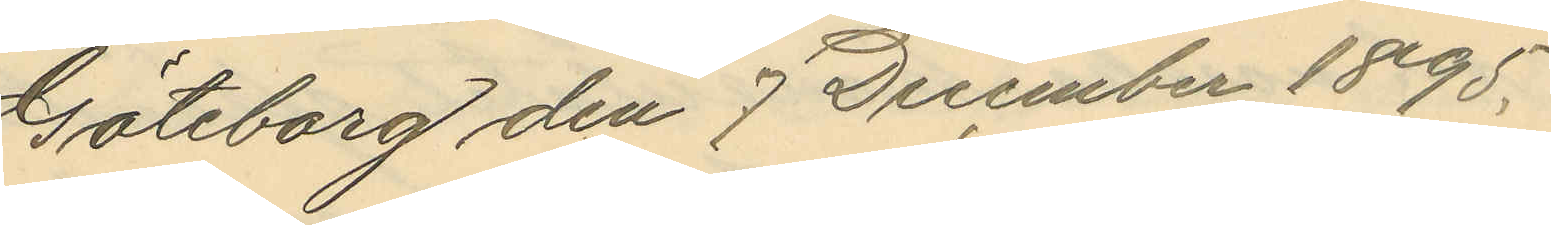Göteborg den 7 December 1895.
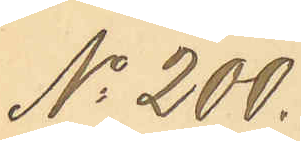No 200.
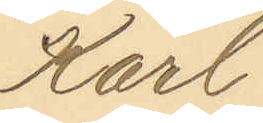Karl
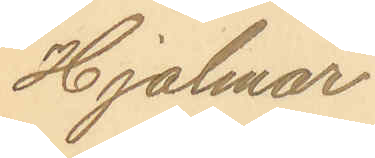Hjalmar
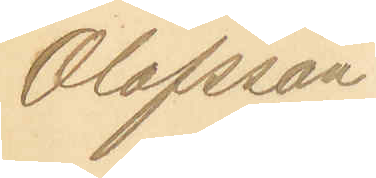Olofsson
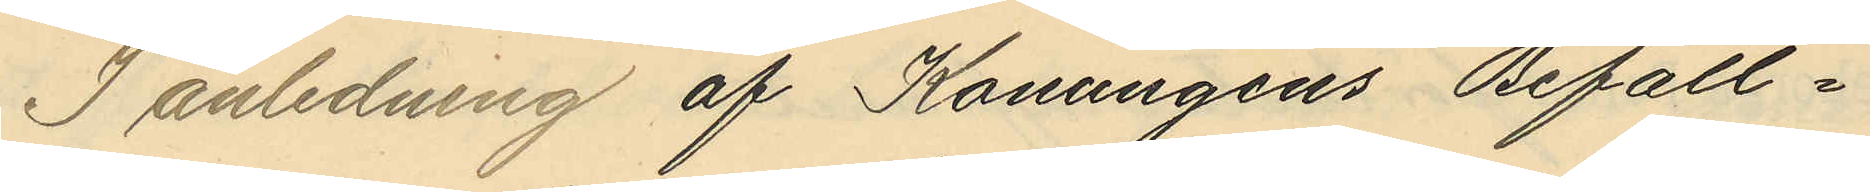I anledning af Konungens Befall¬
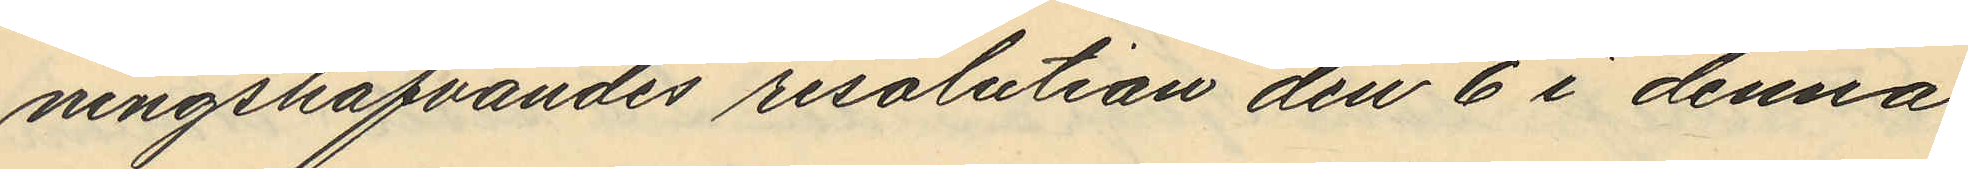ningshafvandes resolution den 6 i denna
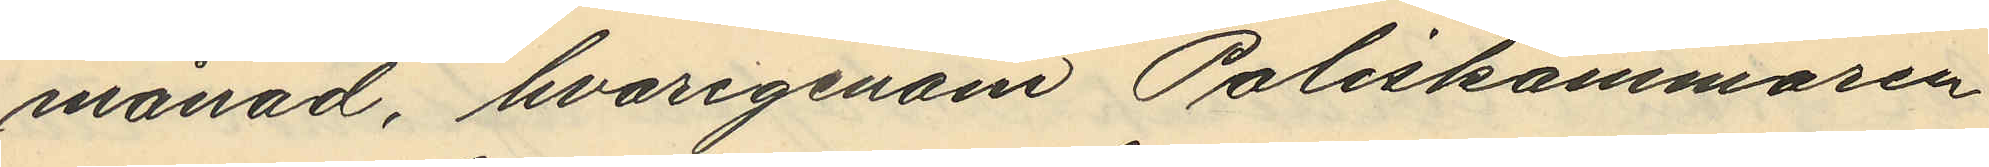månad, hvarigenom Poliskammaren
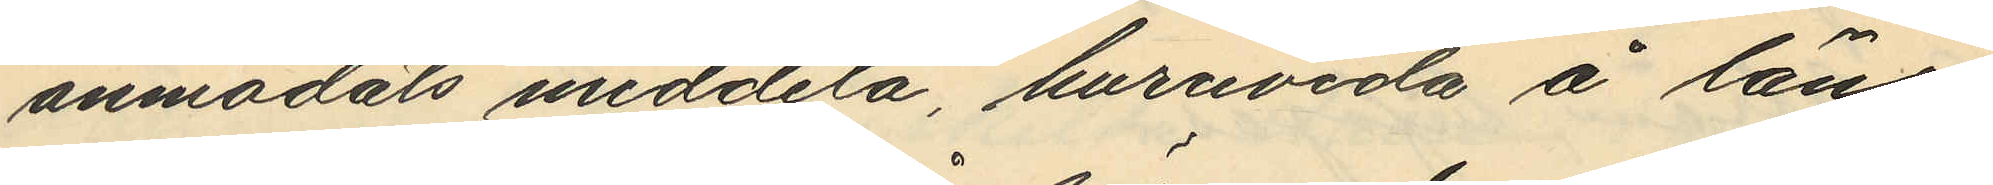anmodats meddela, huruvida å läns¬
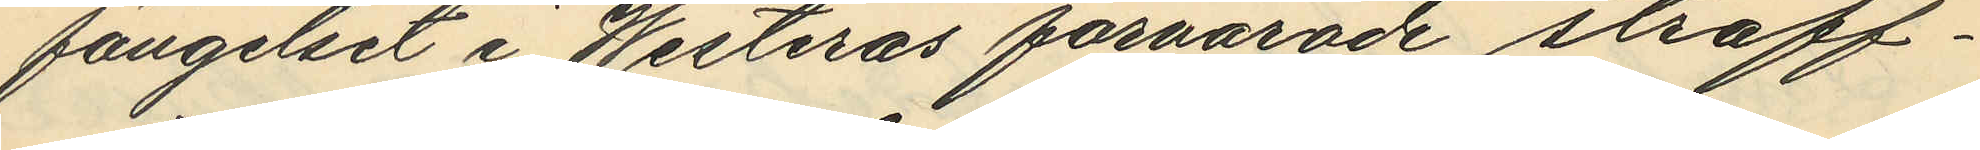fängelset i Westerås förvarade straff¬
